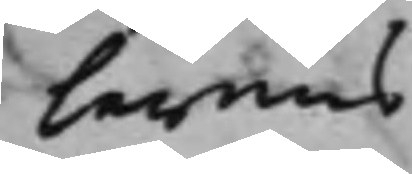larens
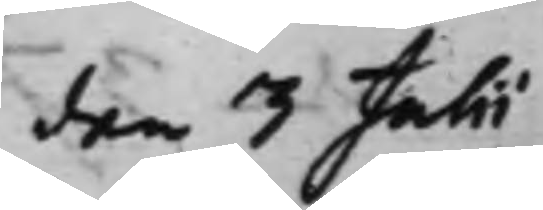den 3 Julii
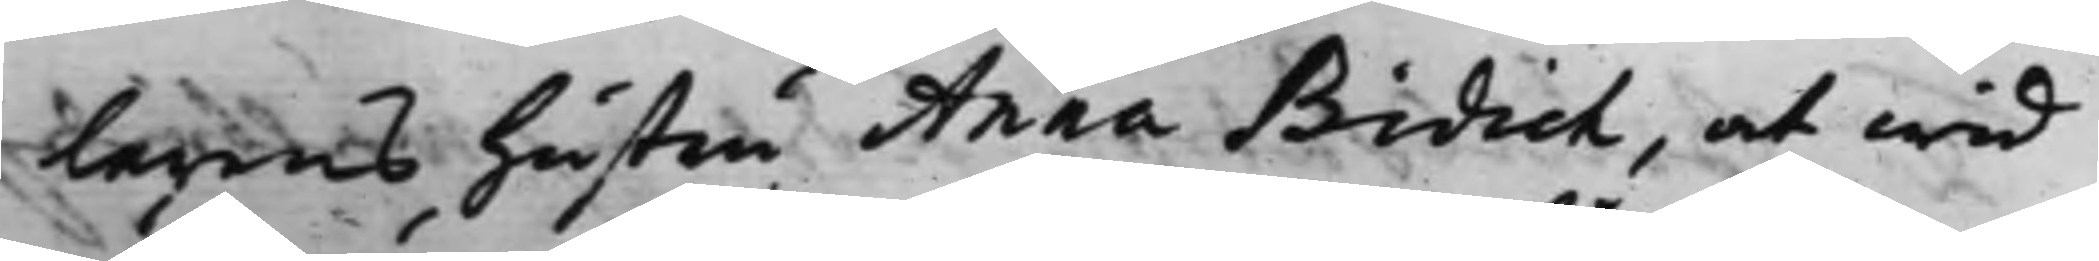larens Hustru Anna Bidich, at wid
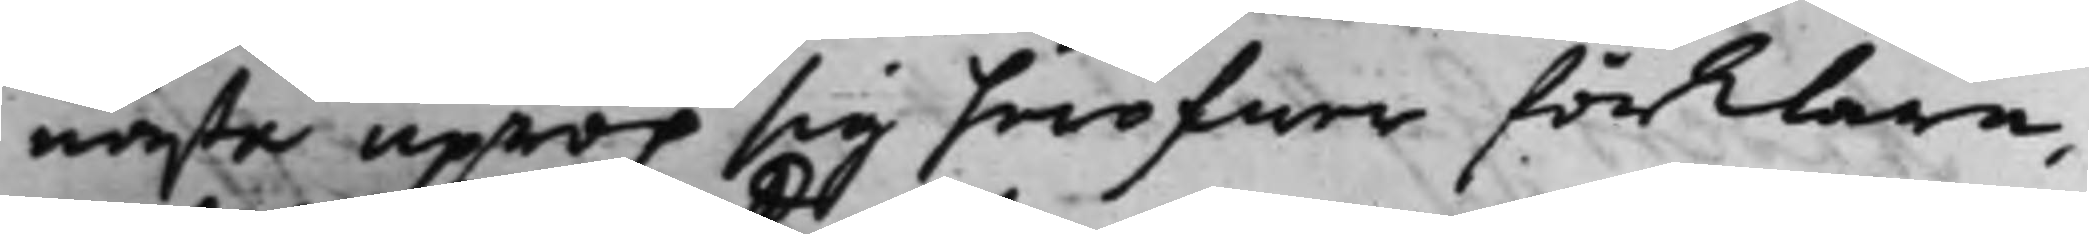nästa uprop sig häröfwer förklara,
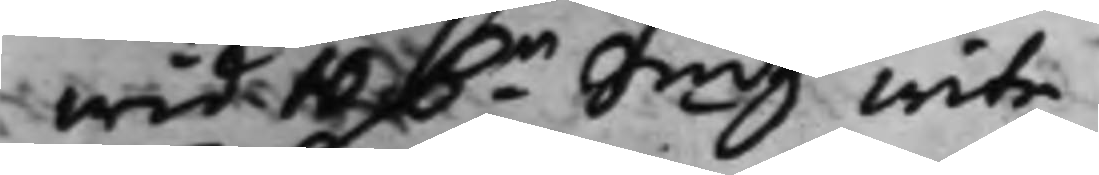wid 10 D.r Smtz Wite.
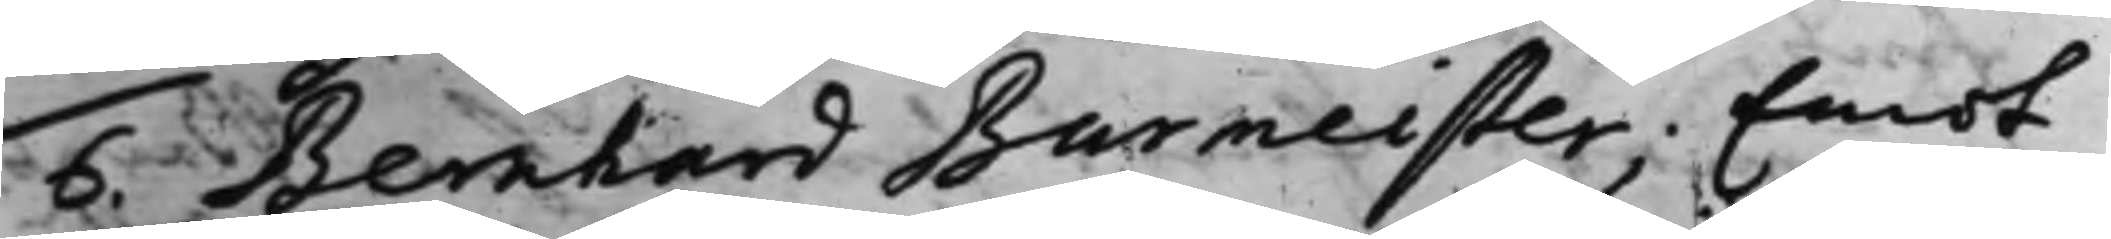6. Bernhard Burmeister; Emot
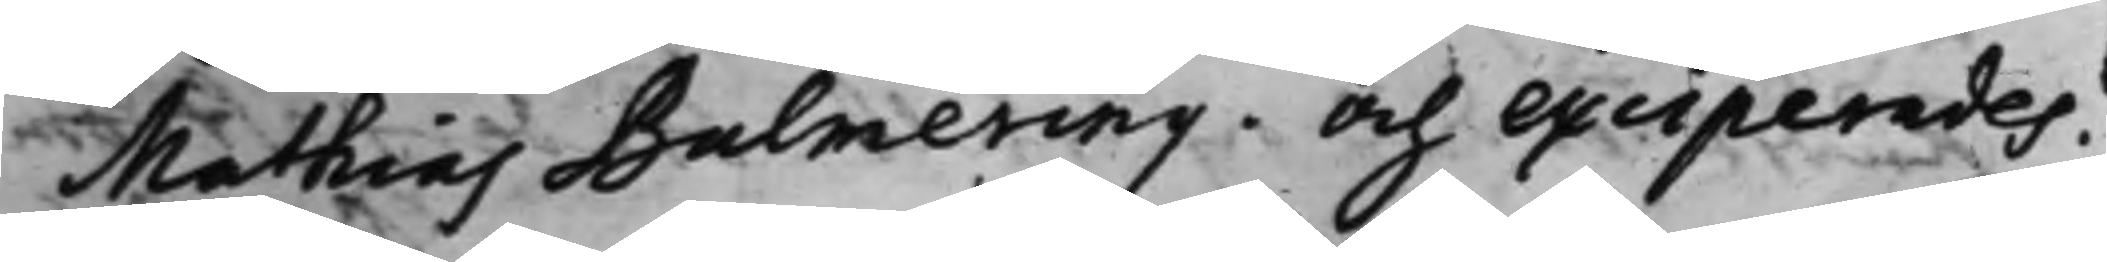Mathias Bulmering. Och exciperades.
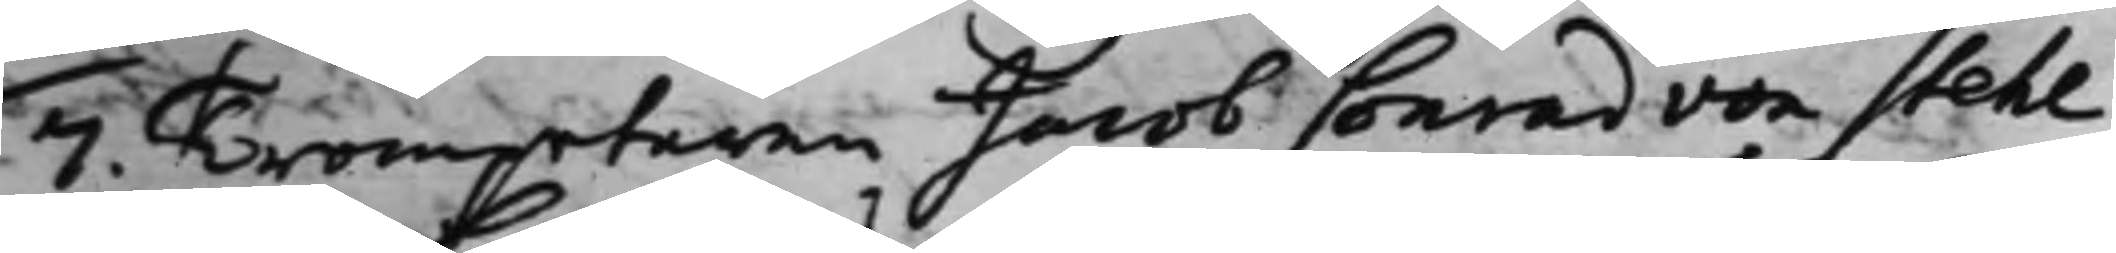7. Trompetaren Jacob Conrad von Stehl
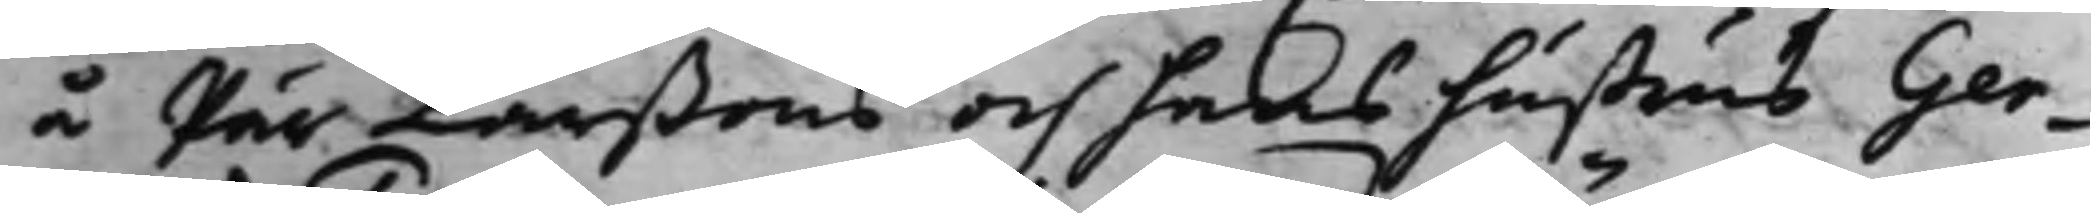å Pär Larßons och hans hustrus Ger¬
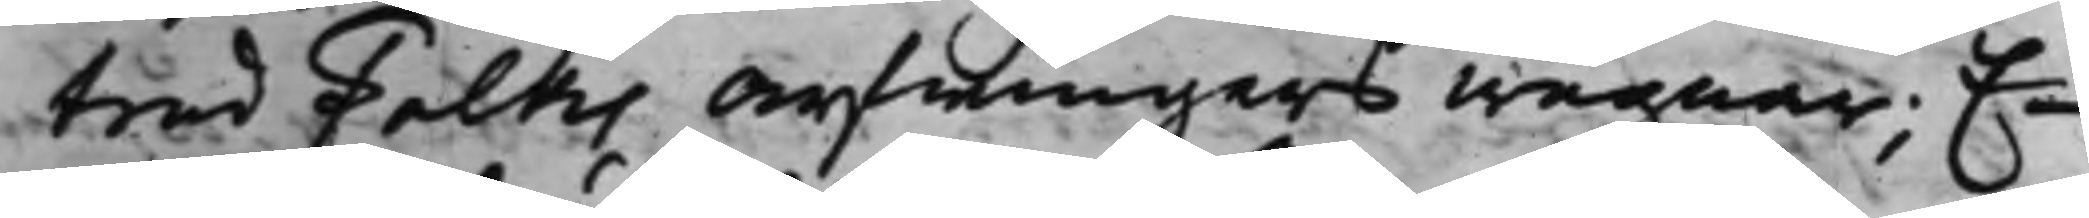trud Falks Arfwingars wägnar; E¬
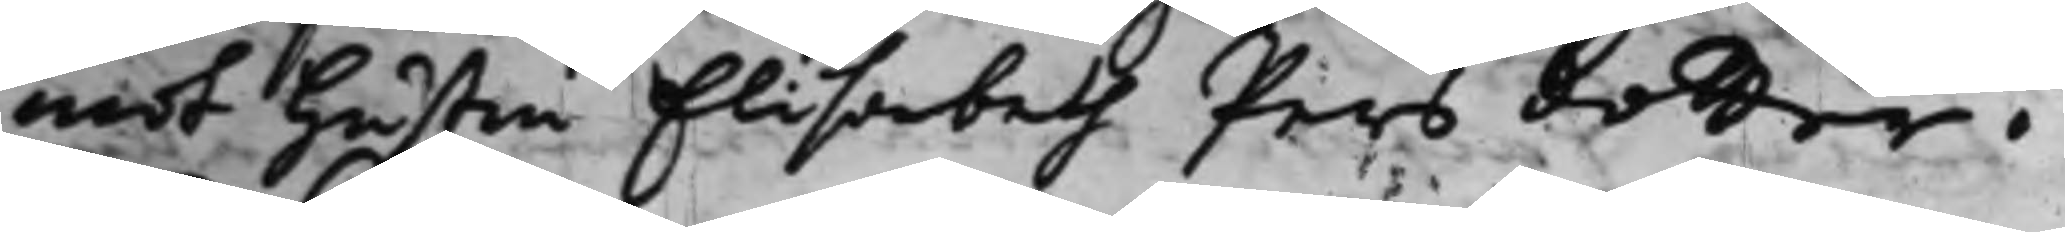mot Hustru Elisabeth Pers dotter i
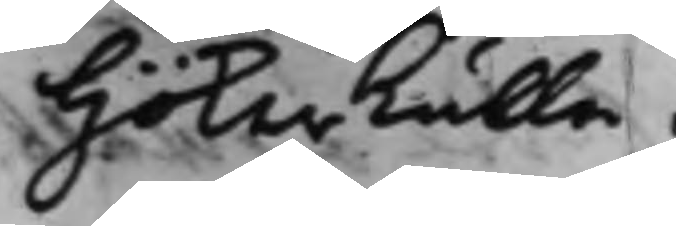Hökerkulla.
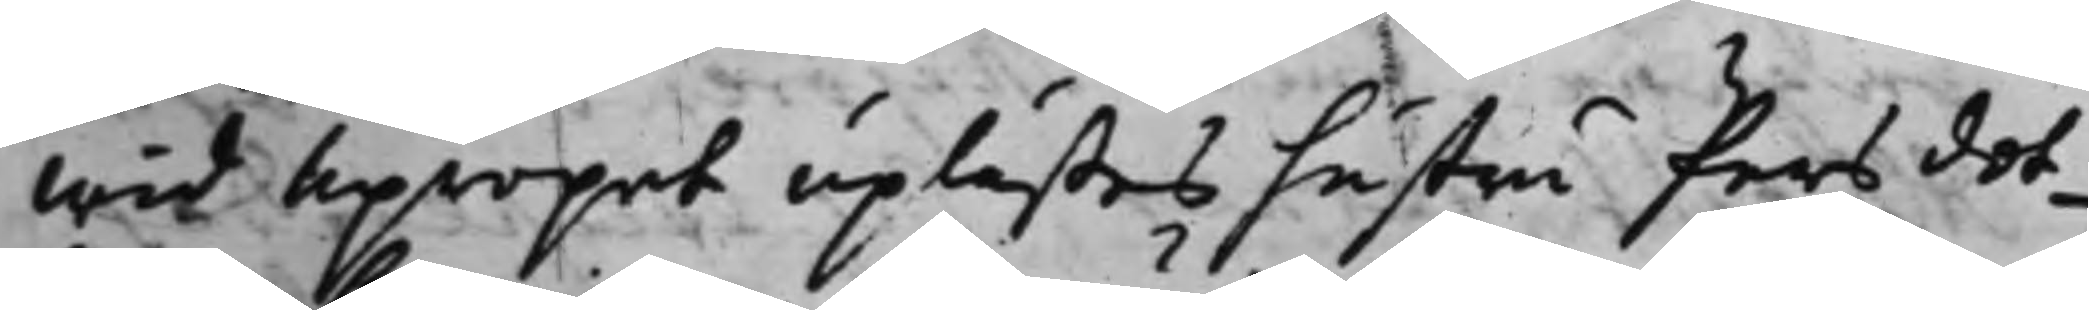Wid Upropet uplästes hustru Pers dot¬
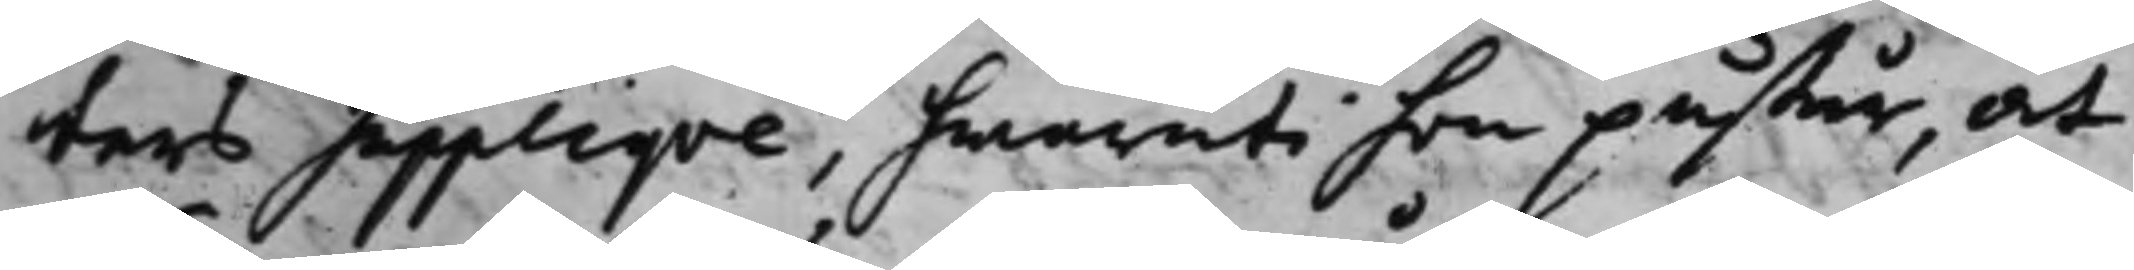ters Suppliqve, hwaruti hon påstår, at
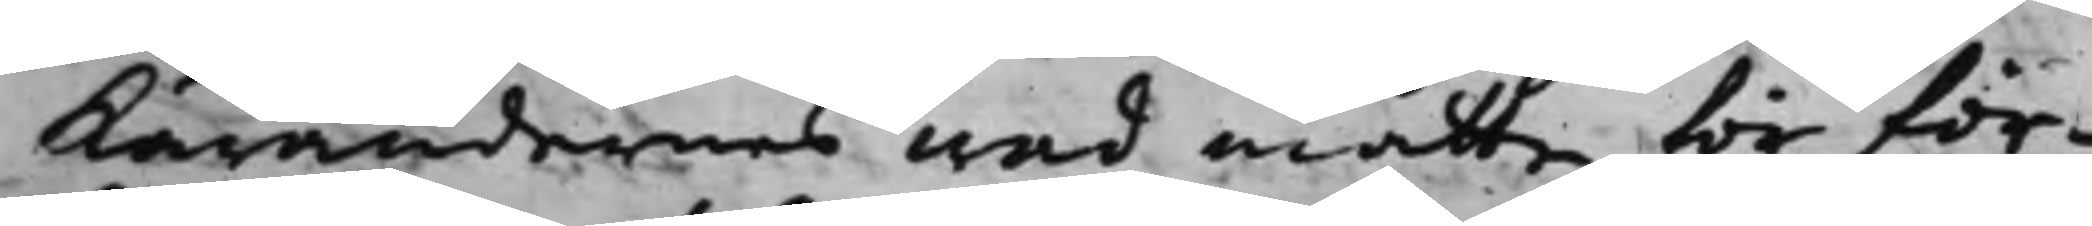Kärandernes vad måtte för för¬
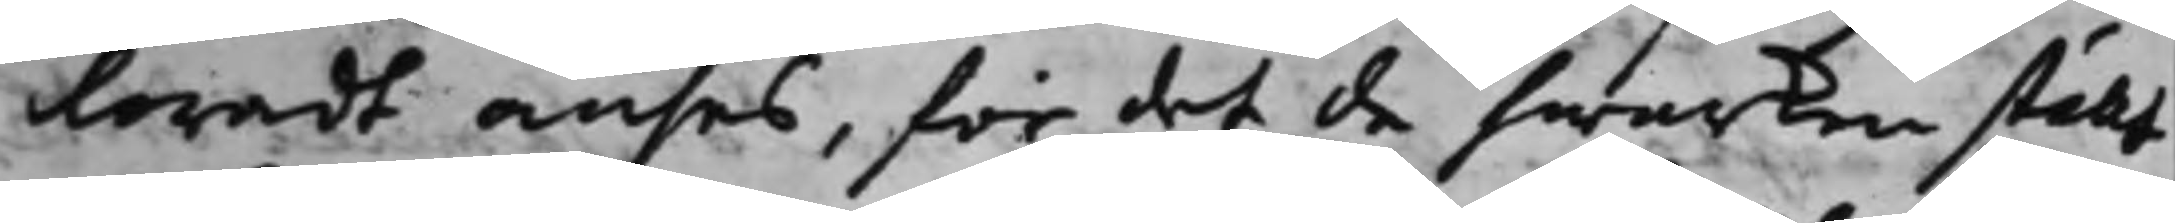loradt anses, för det de hwarken stält
